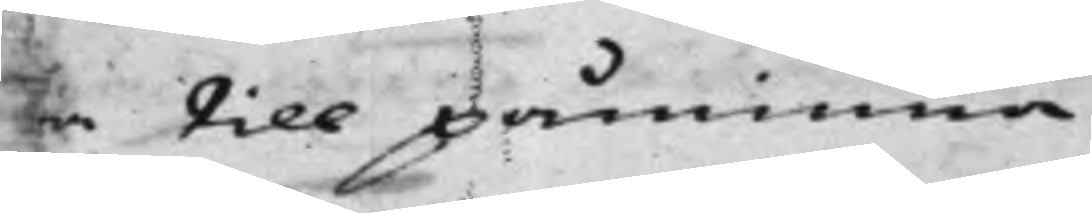ra till påminna.
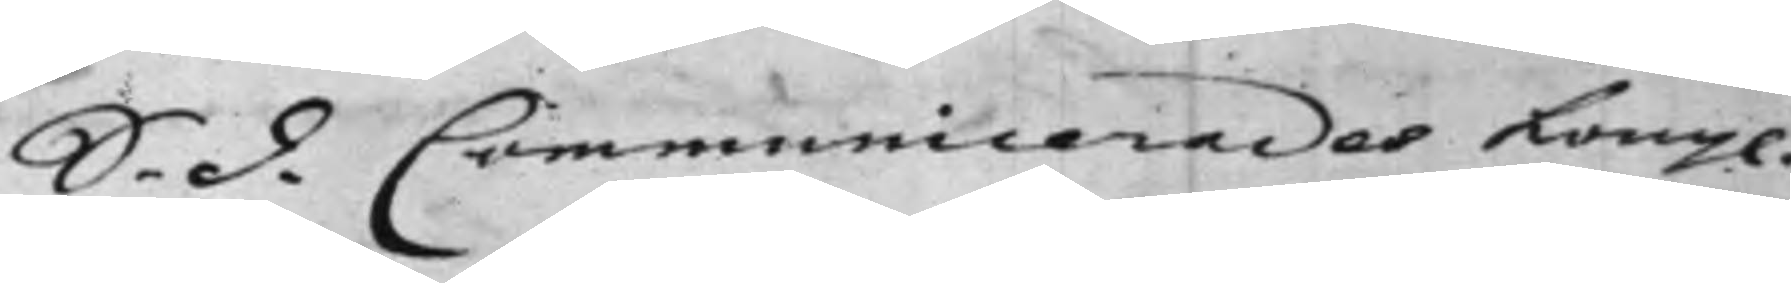S. d. Communicerades Kongl.
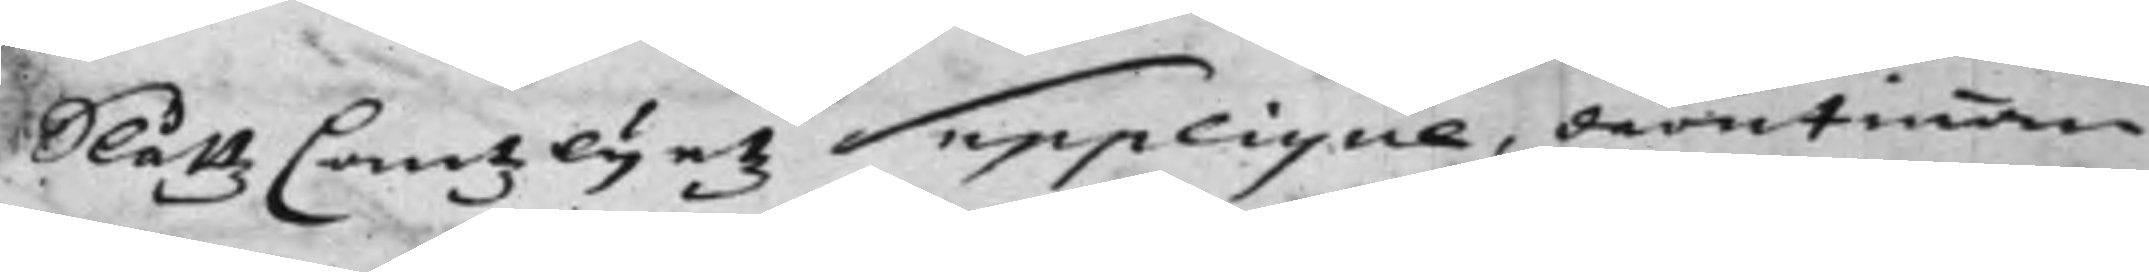SlåttzCantzlijetz Supplique, derutinnan
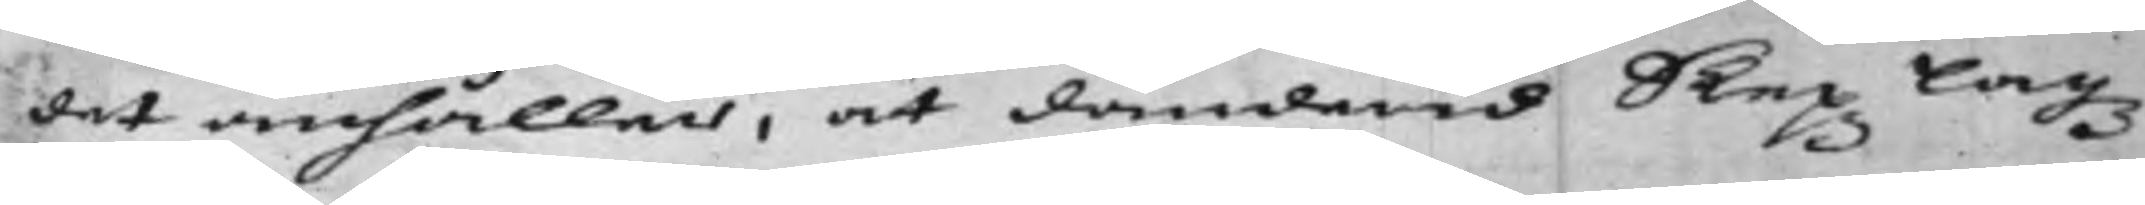det anhålles, at Danderid Skepz Lagz
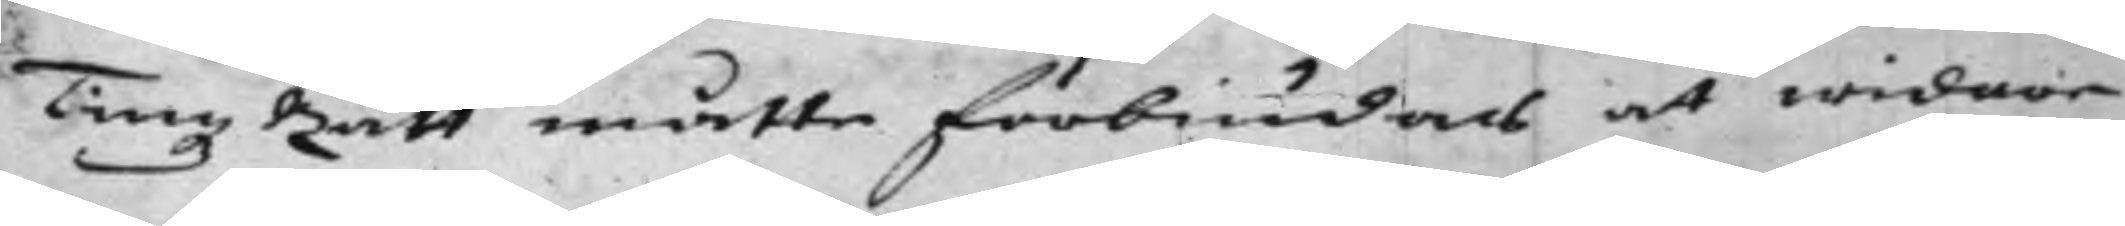Tingz Rätt måtte förbiudas at widare
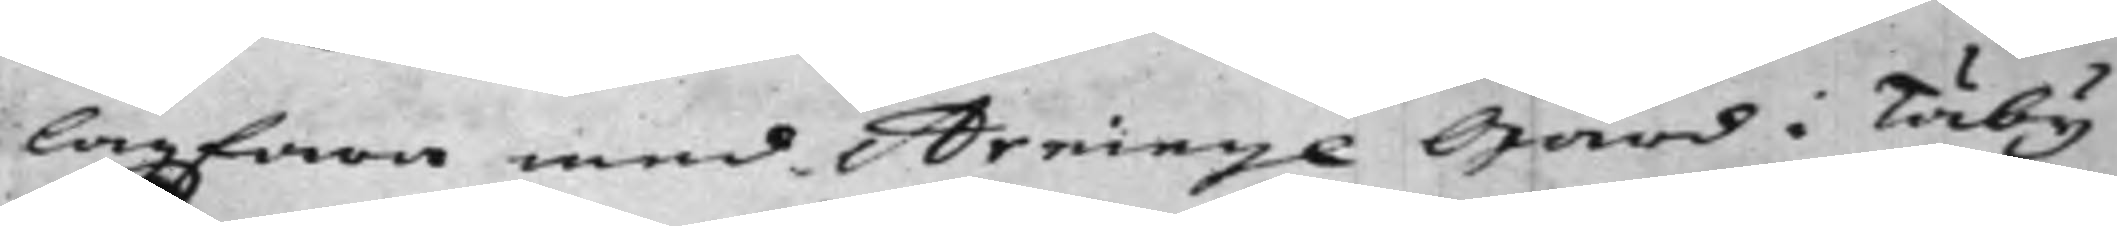lagföra med Arninge Gård i Täby
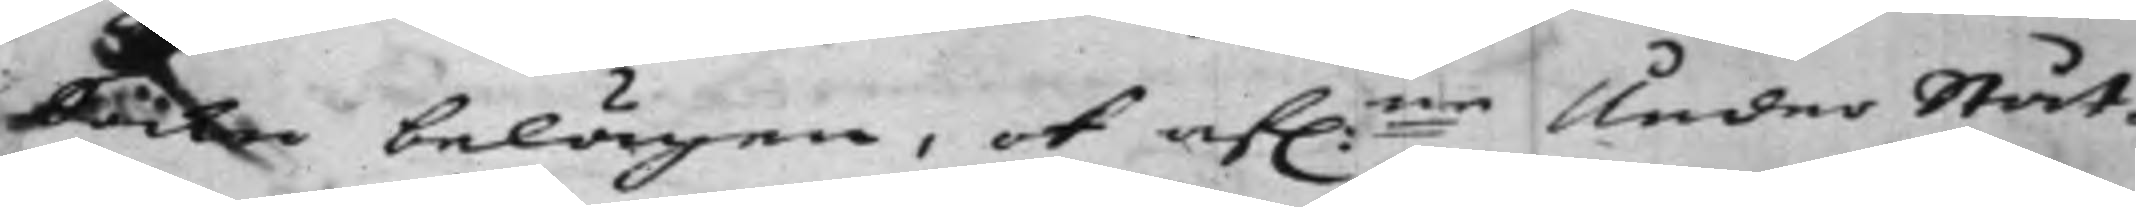Sockn belägen, ok af:ne Under Ståt¬
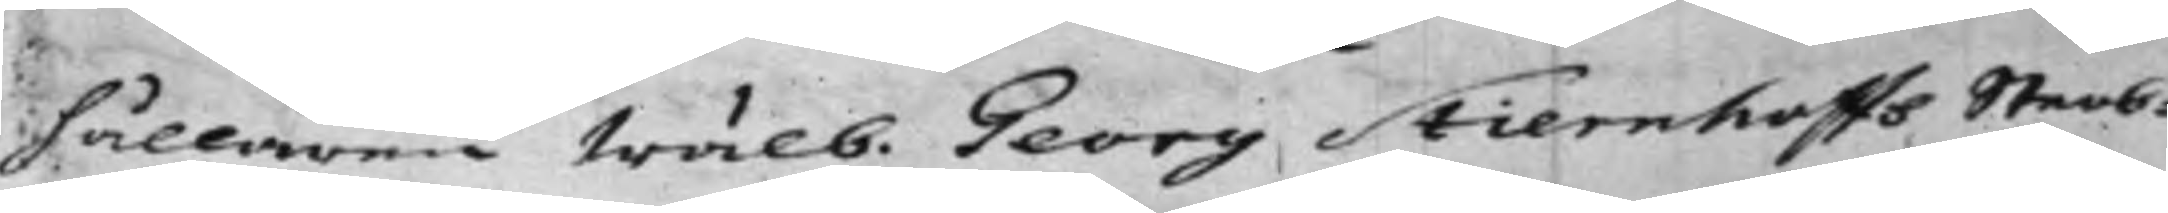hållaren Wälb. Georg Stiernhoffs Sterb¬
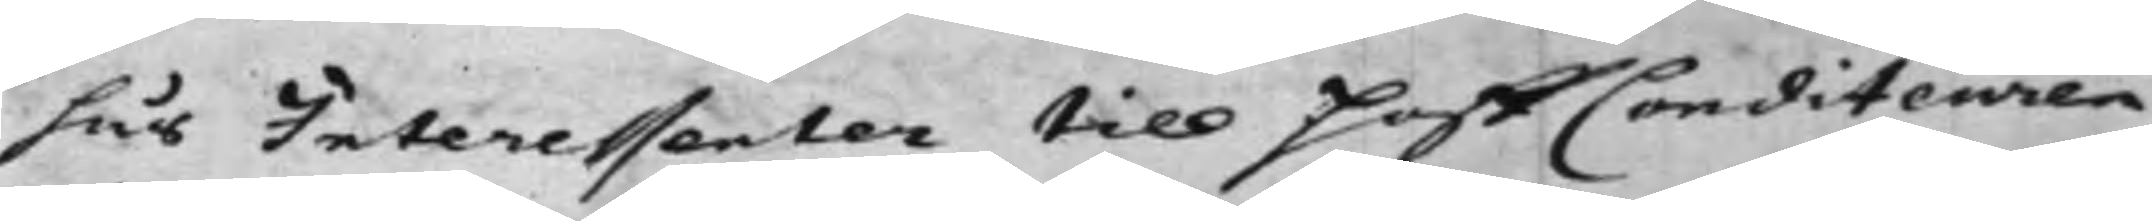hus Interessenter till HoffConditeuren
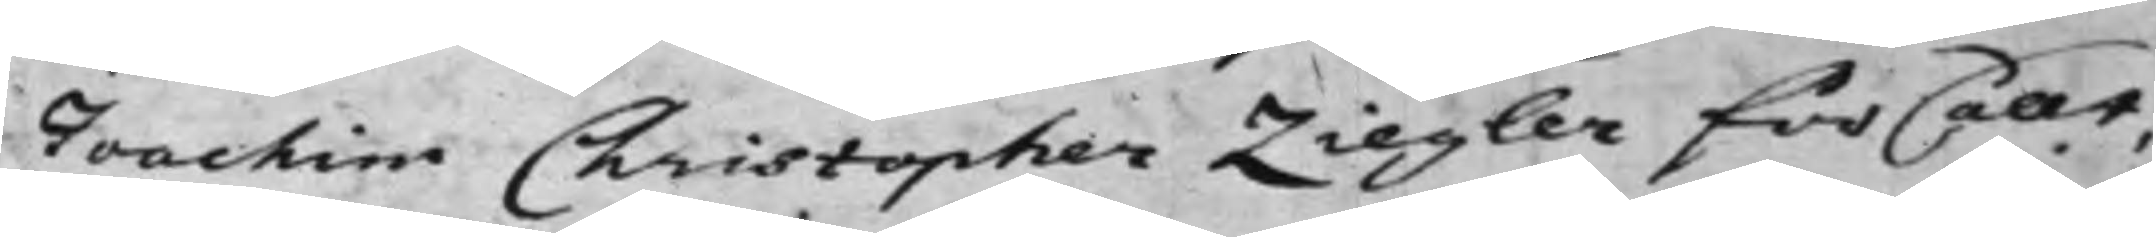Joachim Christopher Ziegler försållt,
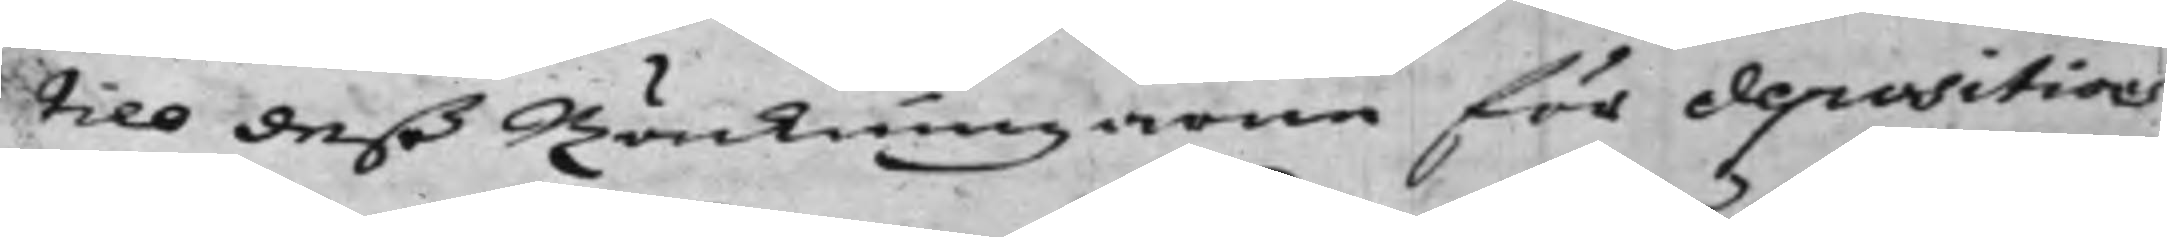till deß Räckningarne för depositions
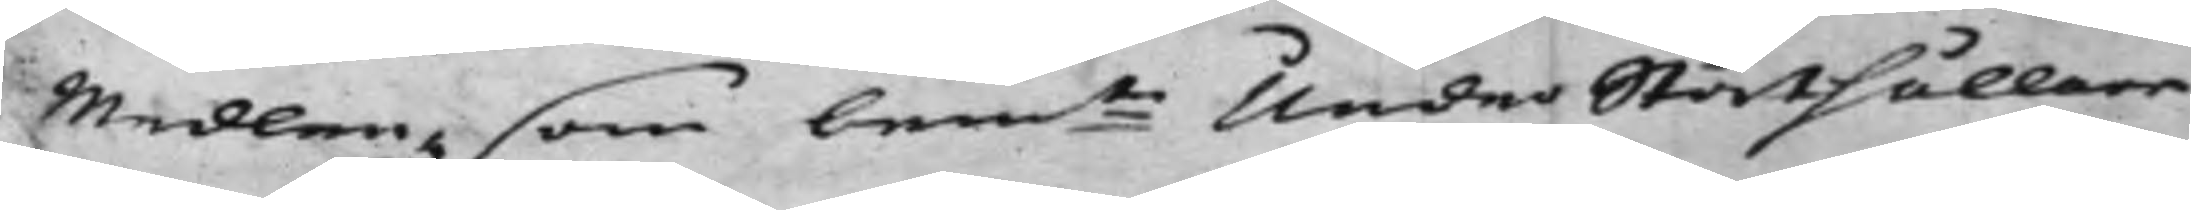Medlen, som bem:te Under Ståthållare
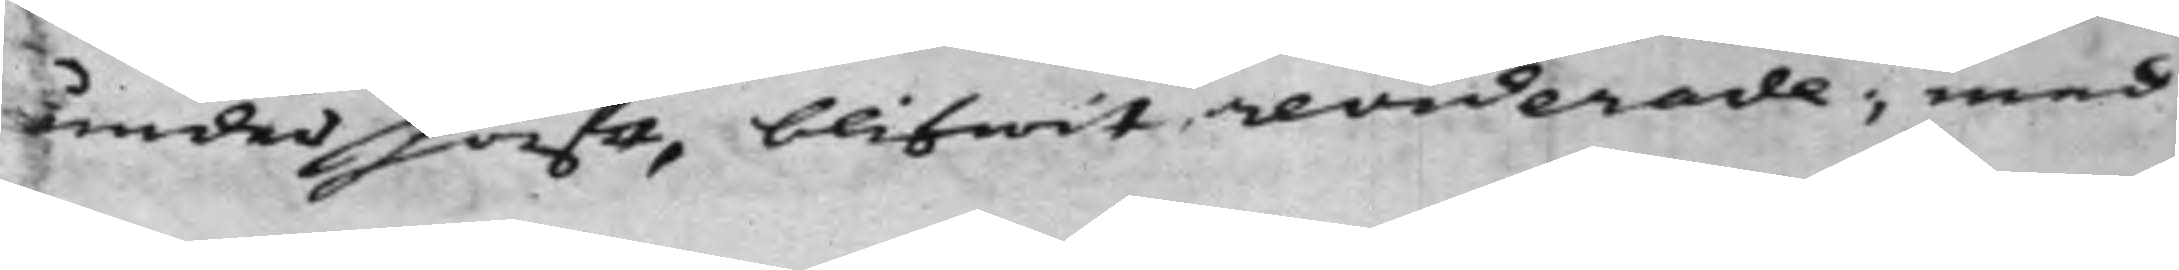under haft, blifwit reviderade, med
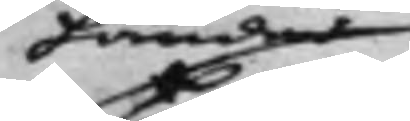Händer
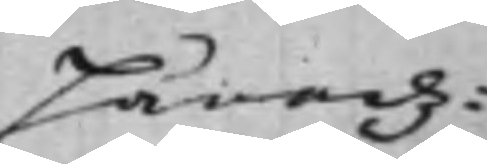Häradz¬
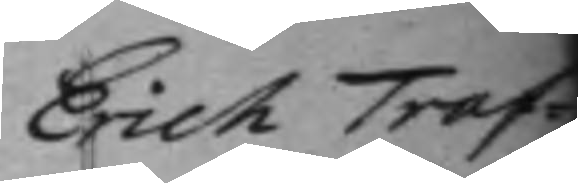Erich Traf¬
